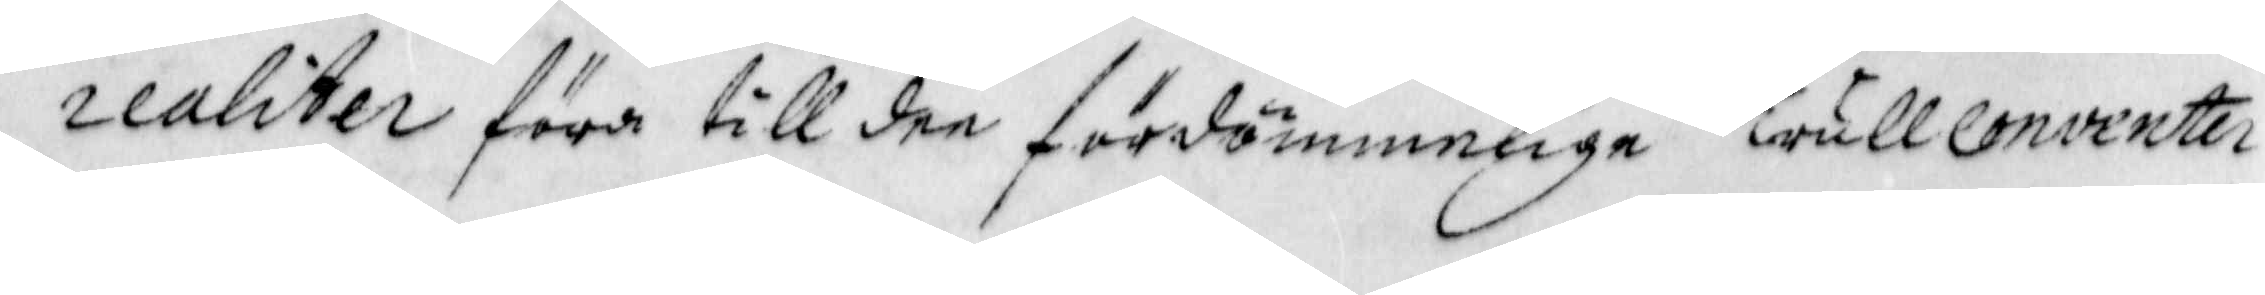realiter föra till dee fördömmelige Trull conventer
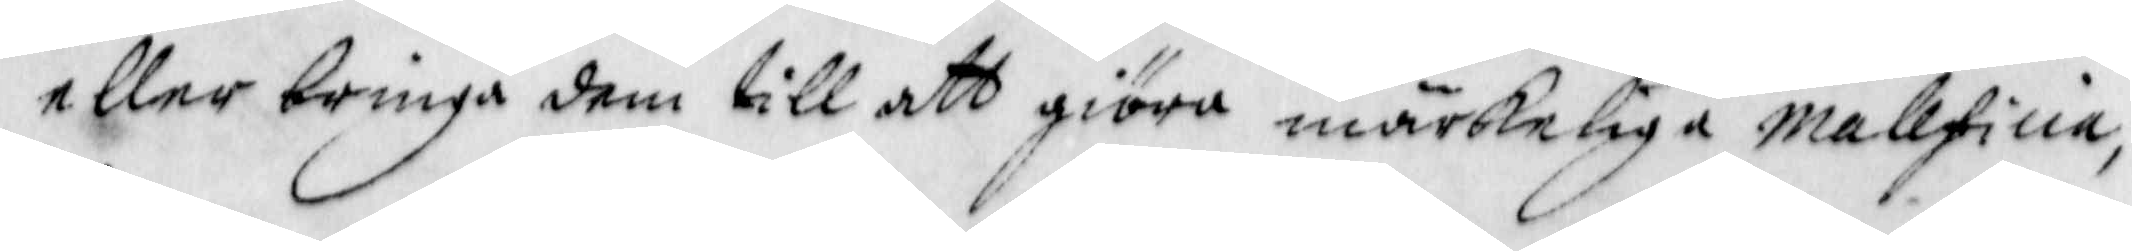eller bringa dem till att giöra märkeliga mallficia,
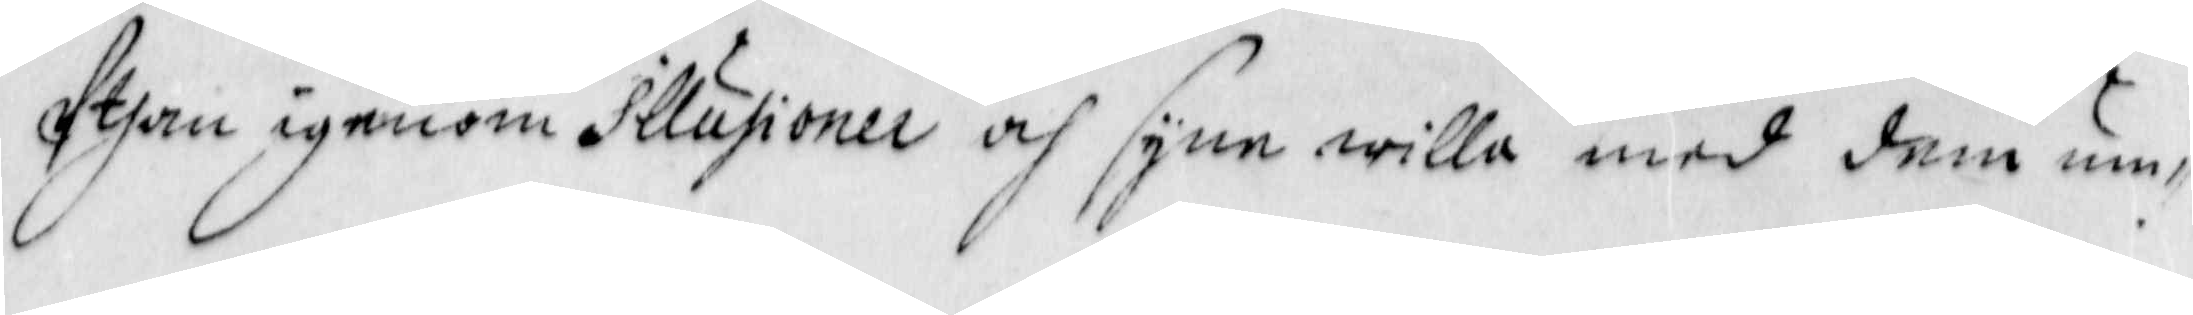Uthan igenom Illusioner och syne willa med dem um¬
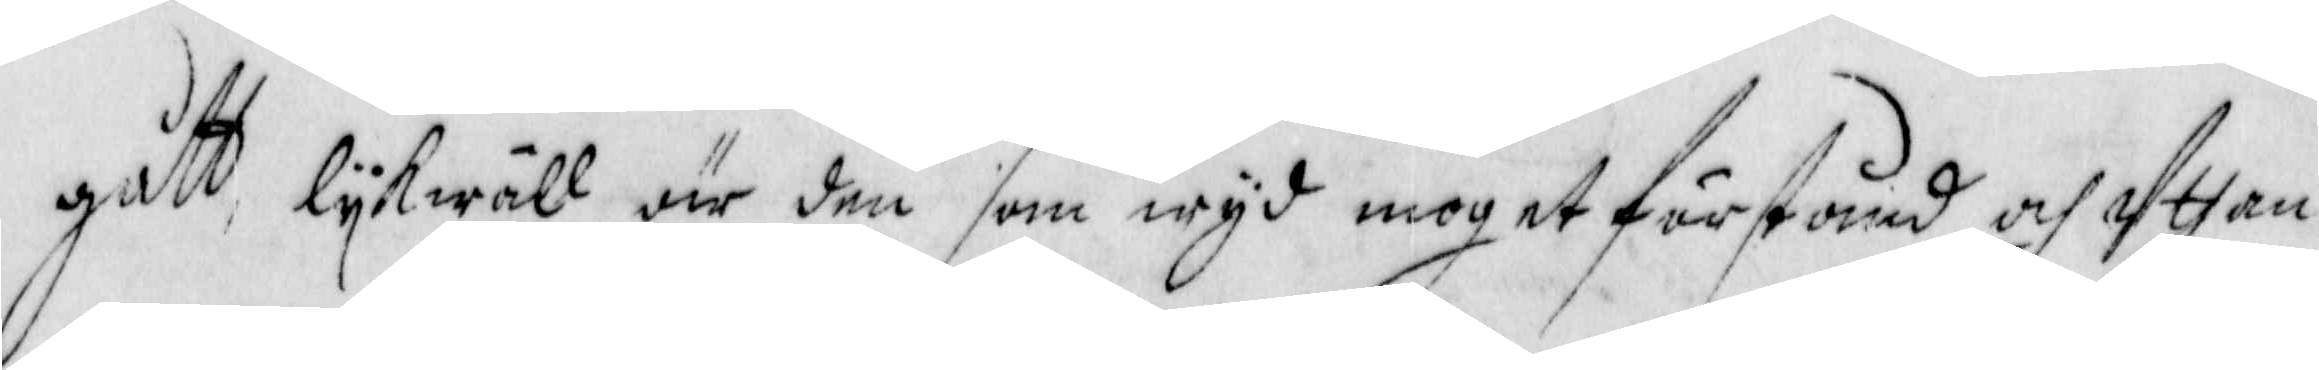gått lykwäll är den som wyd moget förstånd och Uthan
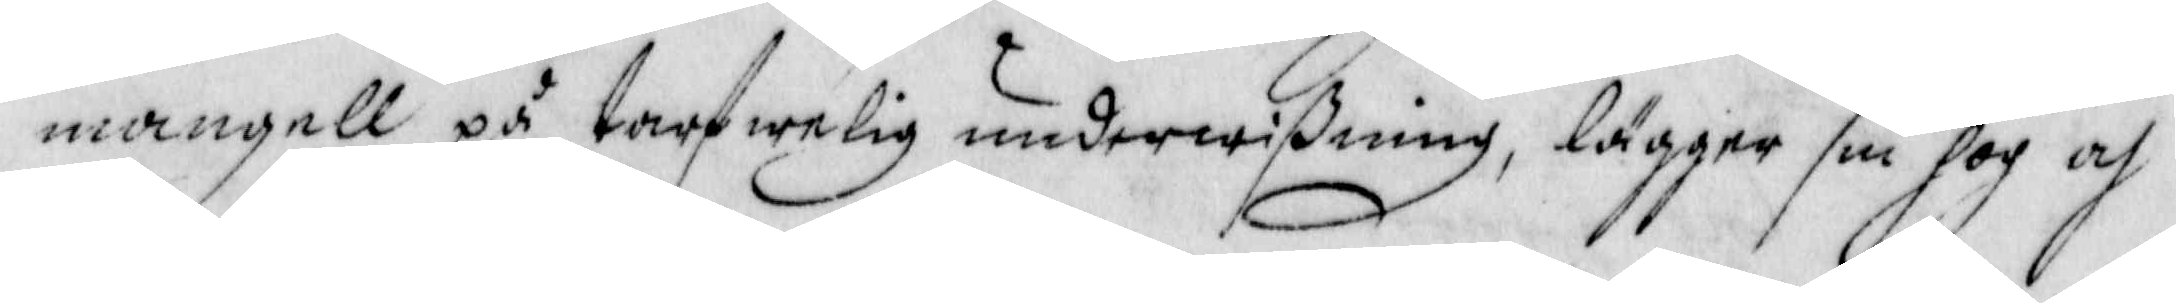mangell på tarfwelig underwyßning, lägger sin hog och
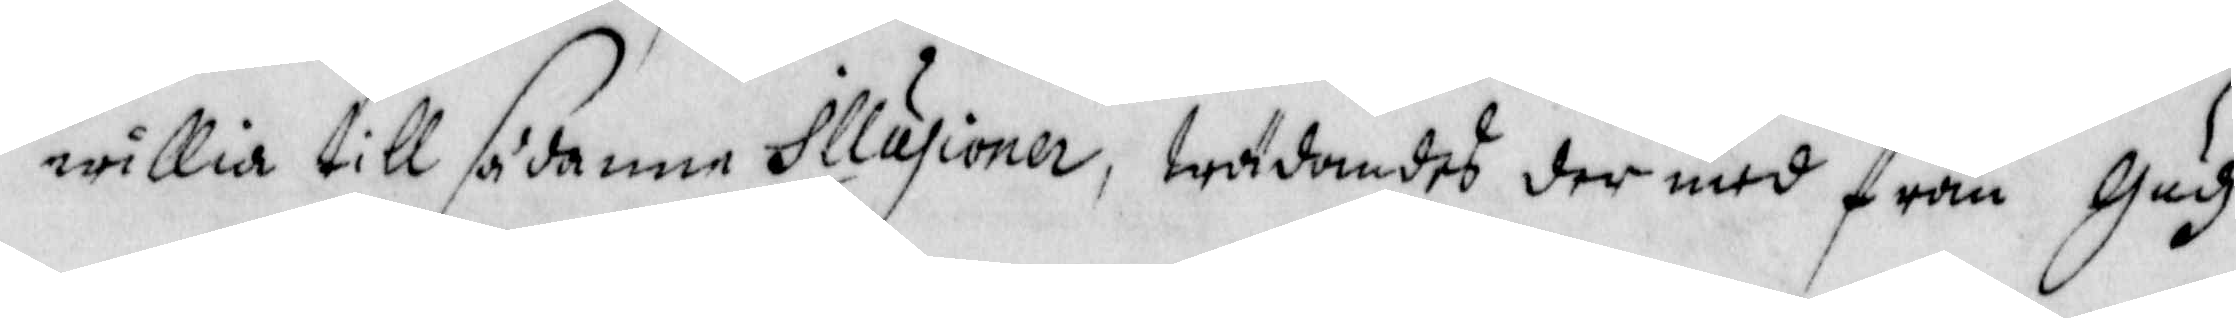willia till sådanne Illusioner, wädandes der med från Gudh
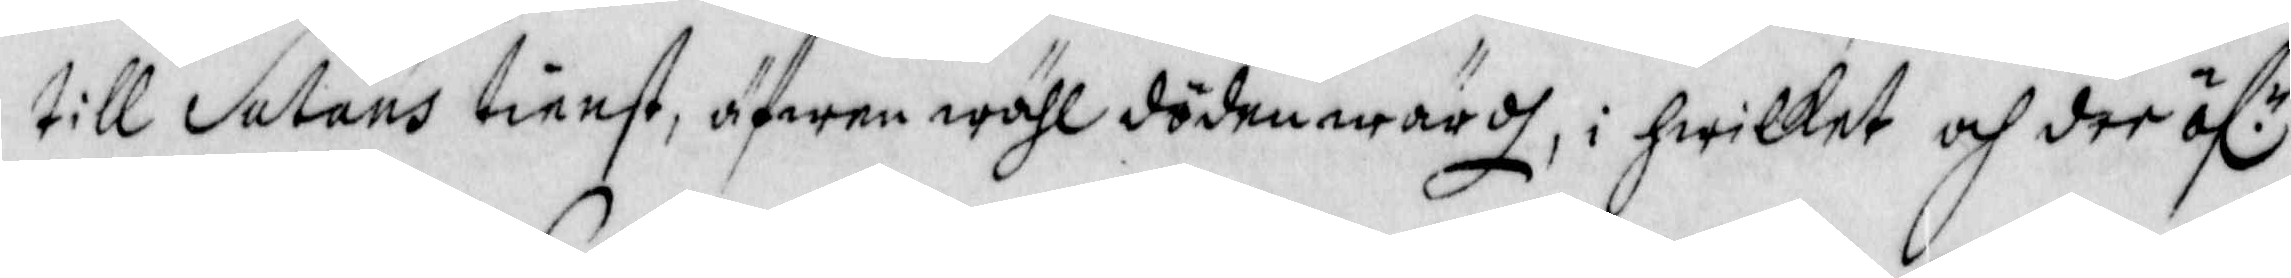till Satans tienst, äfwen wähl döden wärdh, i hwilket och der öfr 
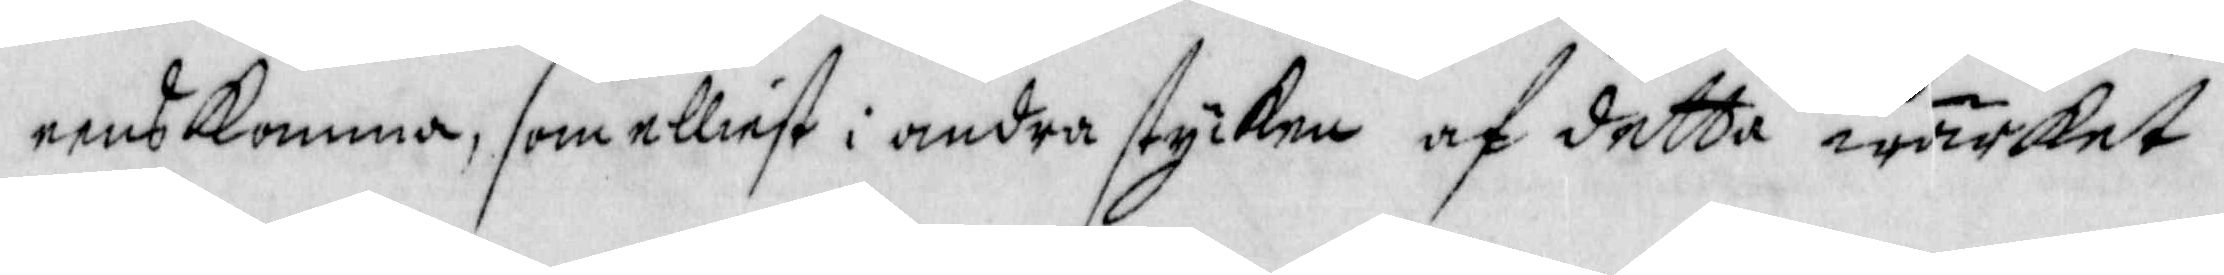eens Komma, som elliest i andra stycken af detta wärket
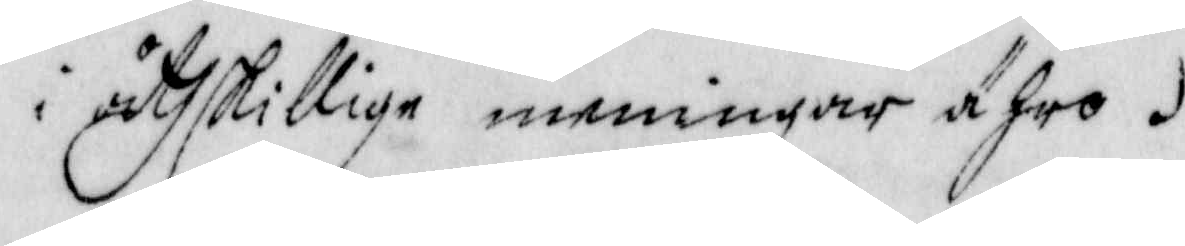i åthskillige meningar ähro.
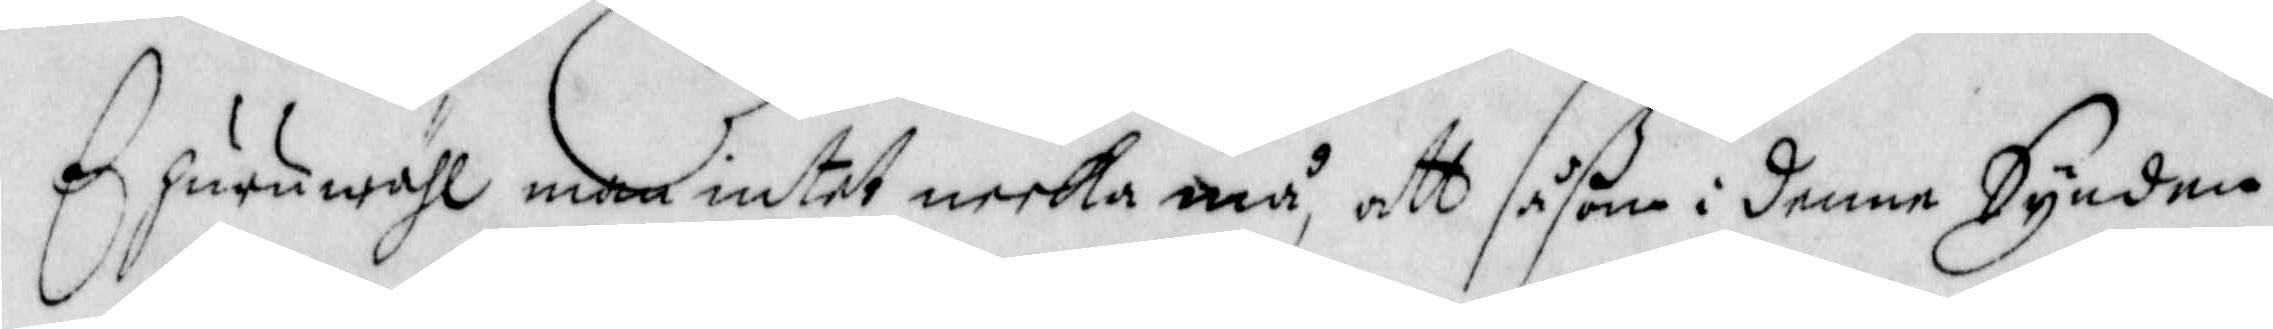Ehuruwähl men intet neeka må, att såßom i denne Synden
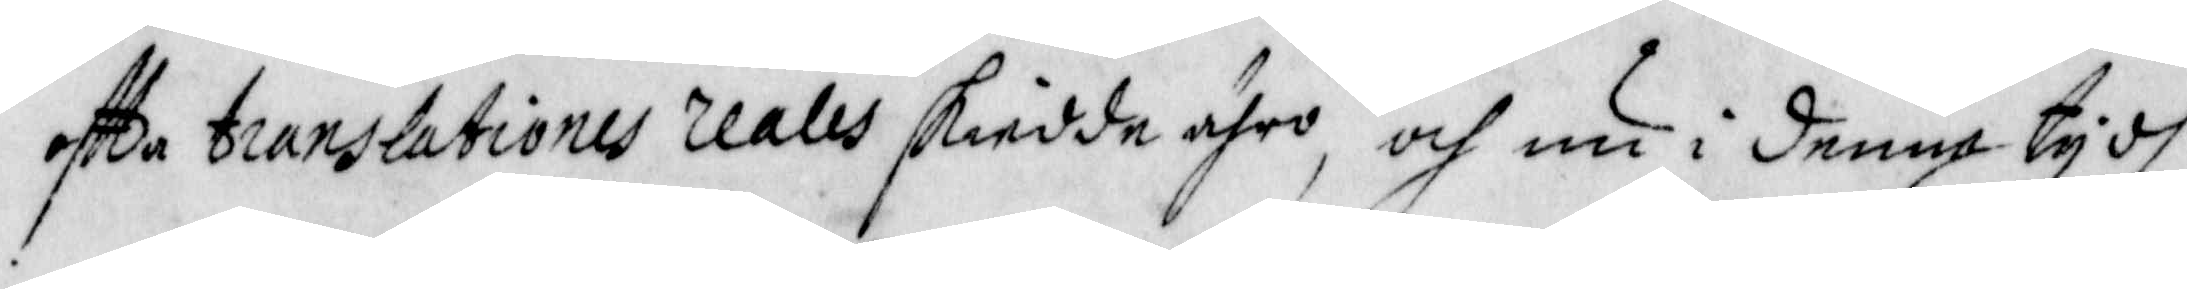oftta translationes reales skiedde ähro, och nu i denna tydh
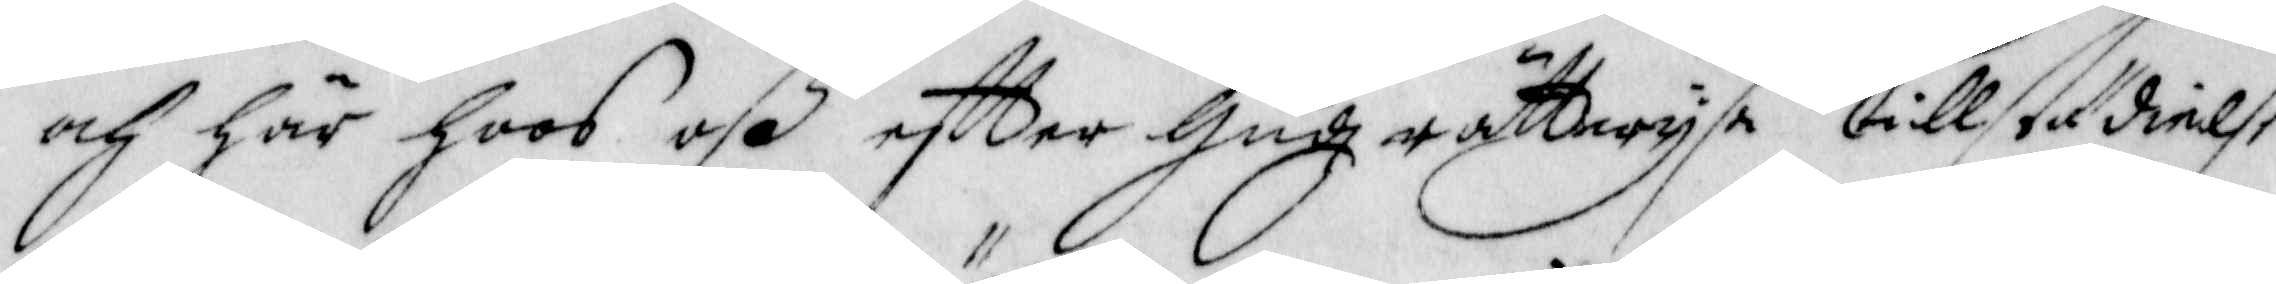och här hoos oß eftter Gudz rättwysa tillstädielse
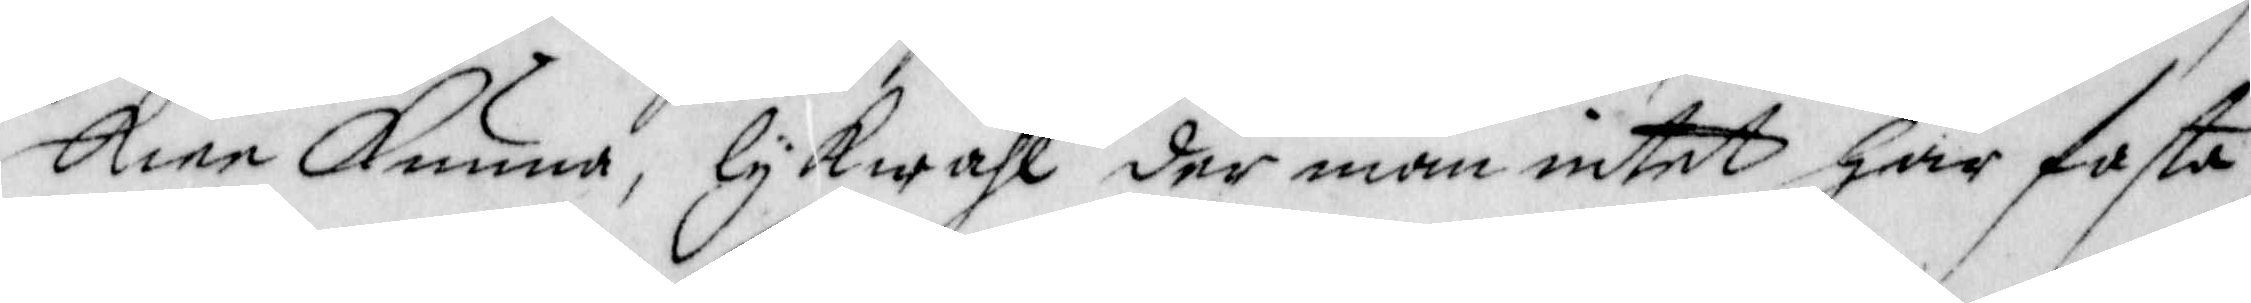skiee Kunna, lykwähl der man intet har fasta
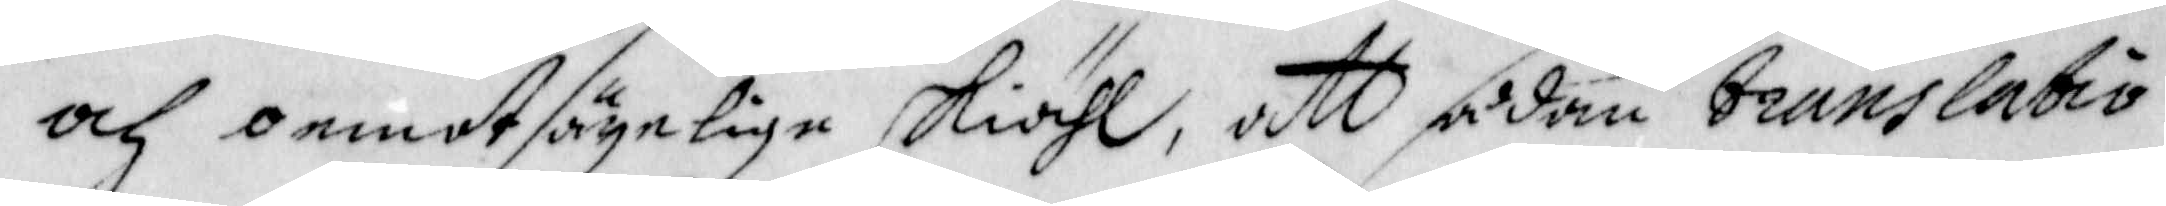och oemotsägelige skiähl, att sådan translatio
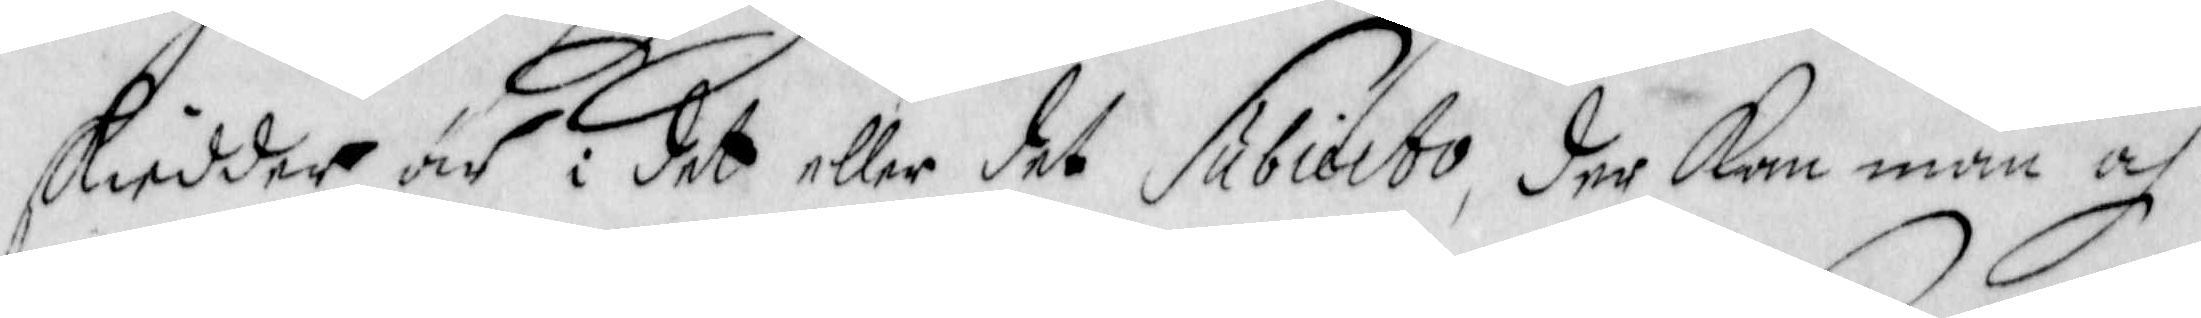skiedder är i det eller det subiato, der kan man och
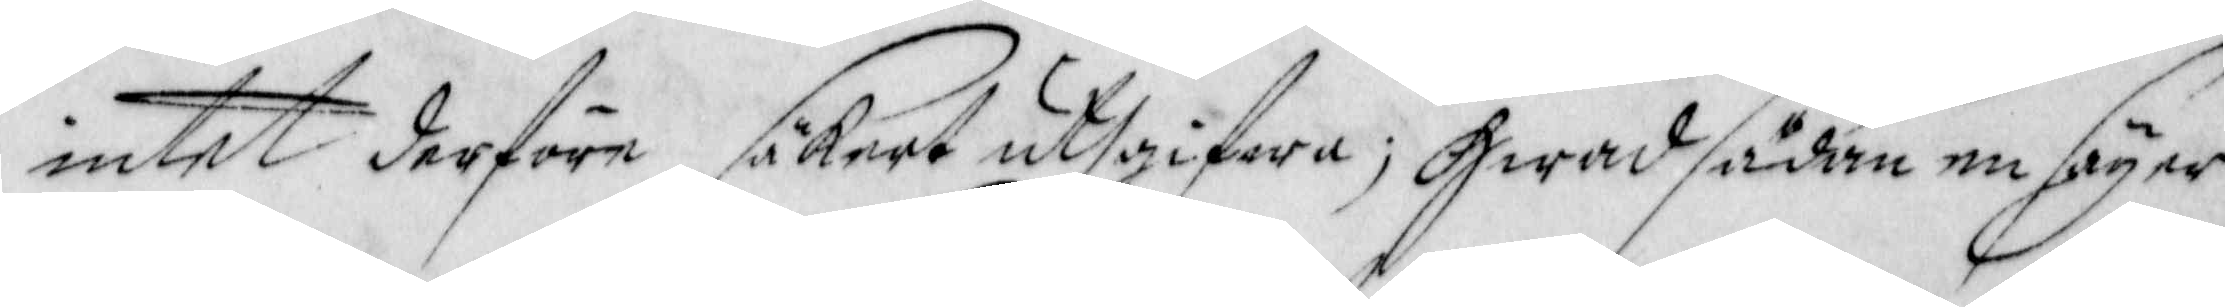intet derföre säkert uthgifwa; Hwad sådan en säyer
